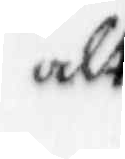alt
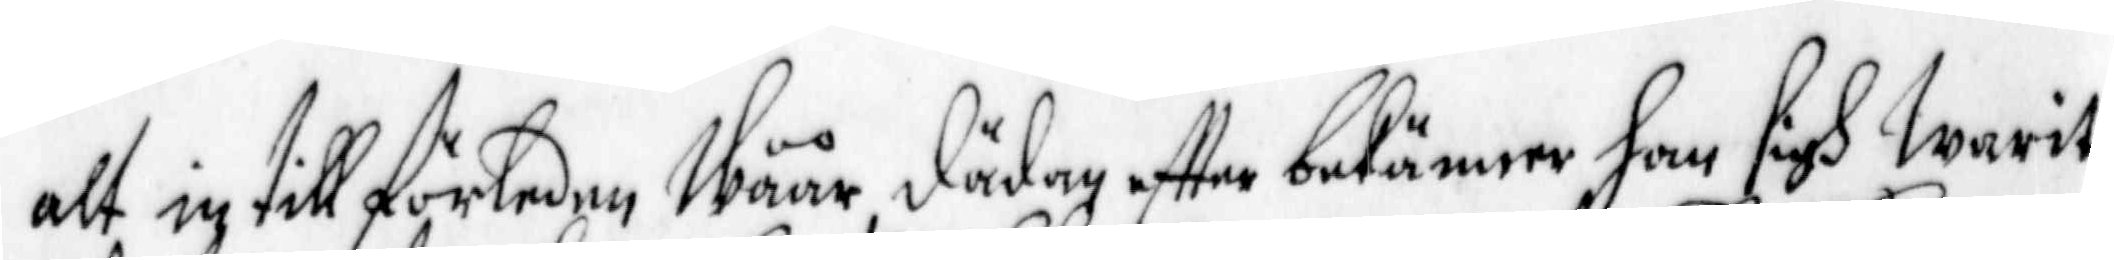alt intill förleden Wåår dädan effter bekänner han sigh Warit
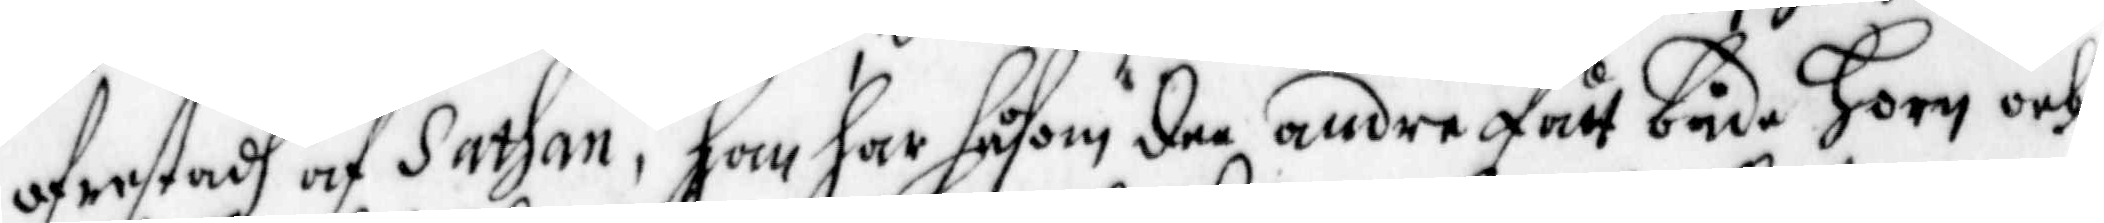ofrestadh af Sathan, han har såsom dee andre fått både Horn och
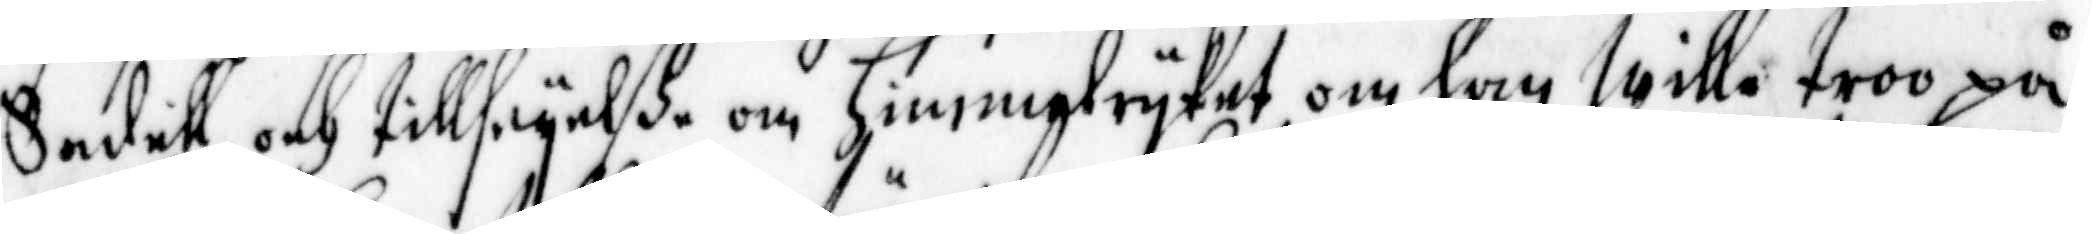Sadell, och tillseyelße om himmelryket om han wille troo på
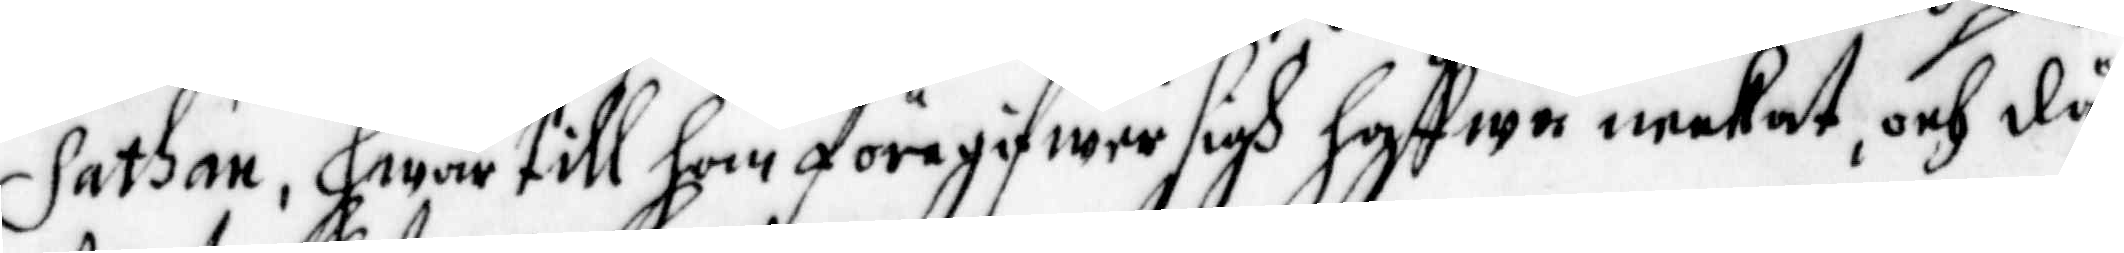Sathan, hwar till han föregifwer sigh haffwa neekat, och då
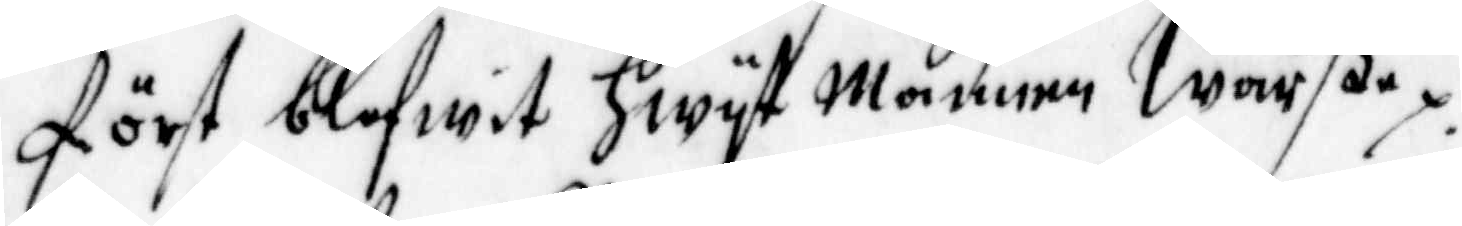först blefwit hwyt Mannen Warßa.
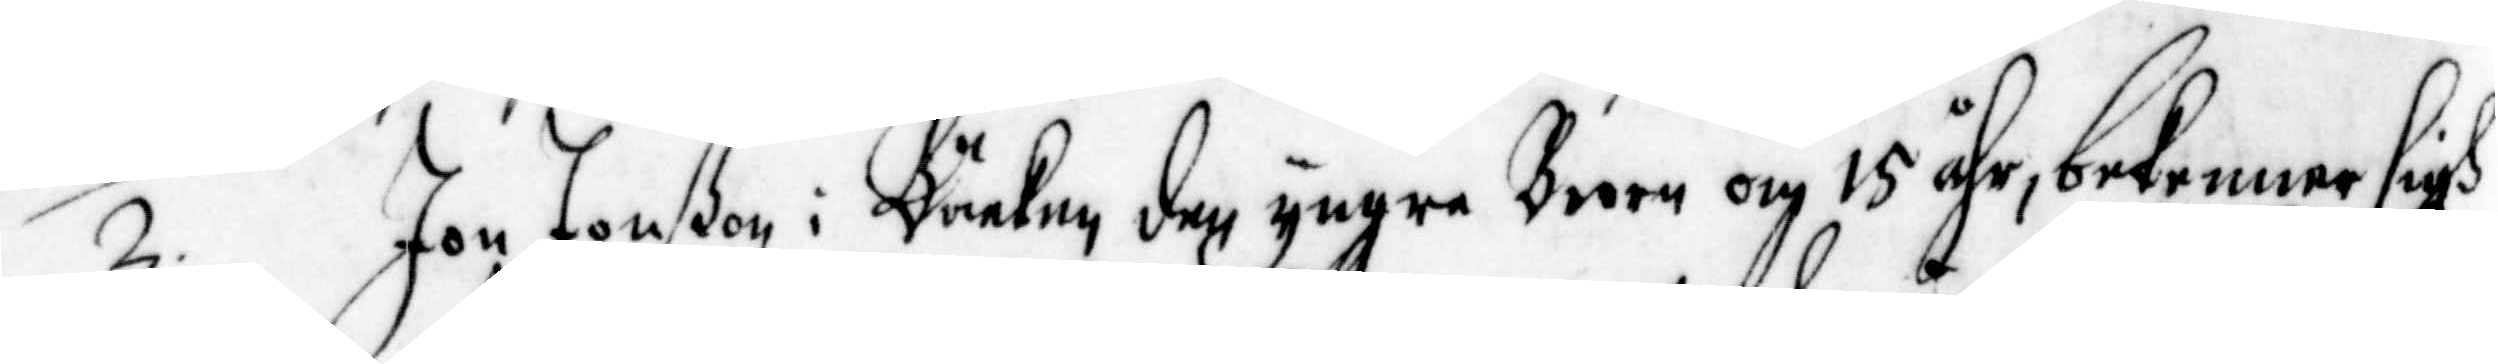2. Jon Jonßson i Bäcken den yngre Broen om 15 åhr, bekenner sigh
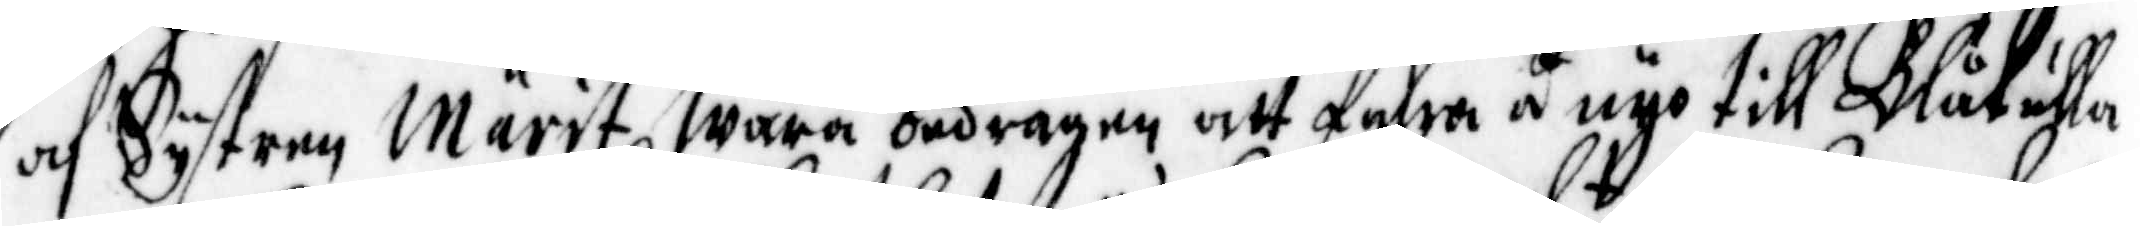af Systren Märit, wara bedragen att fahra å nyo till Blåkulla
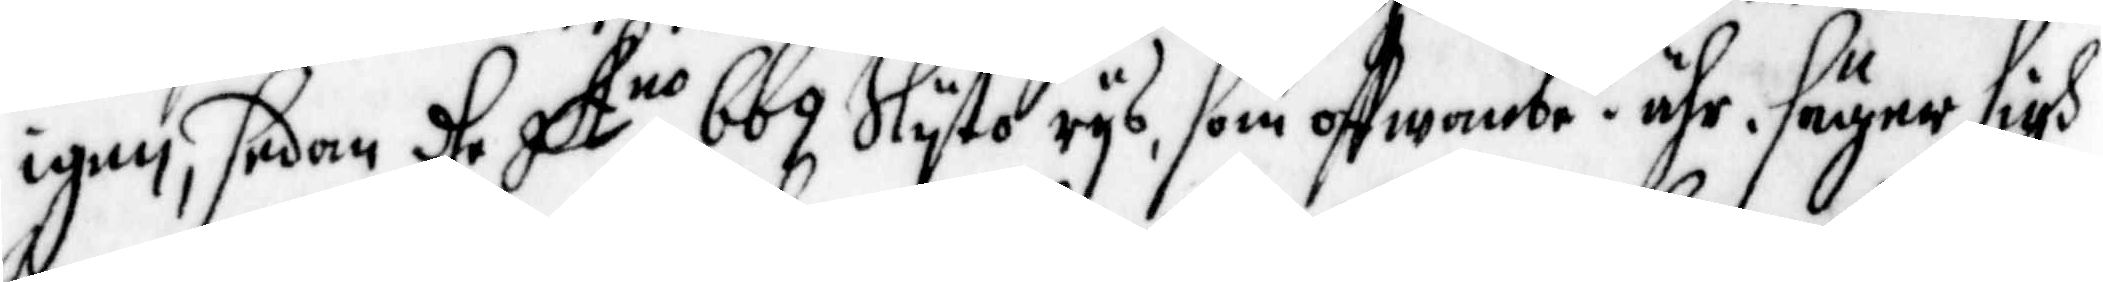igen, sedan dhe A:no 669 Slyto rys, som offwanbe t ähr, säger sigh
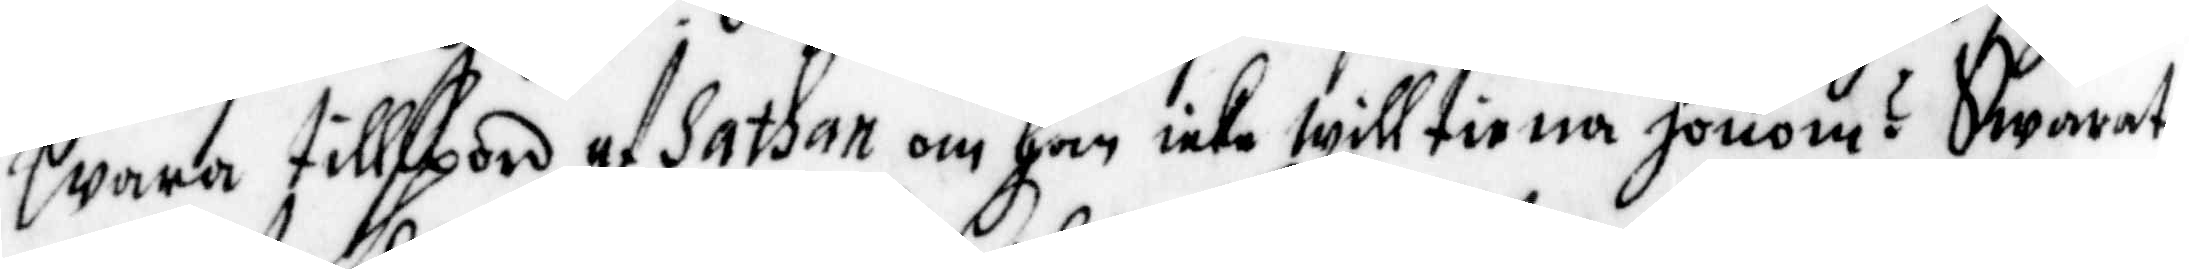wara tillspord af Sathan om han icke will tiena honom? Swarat,
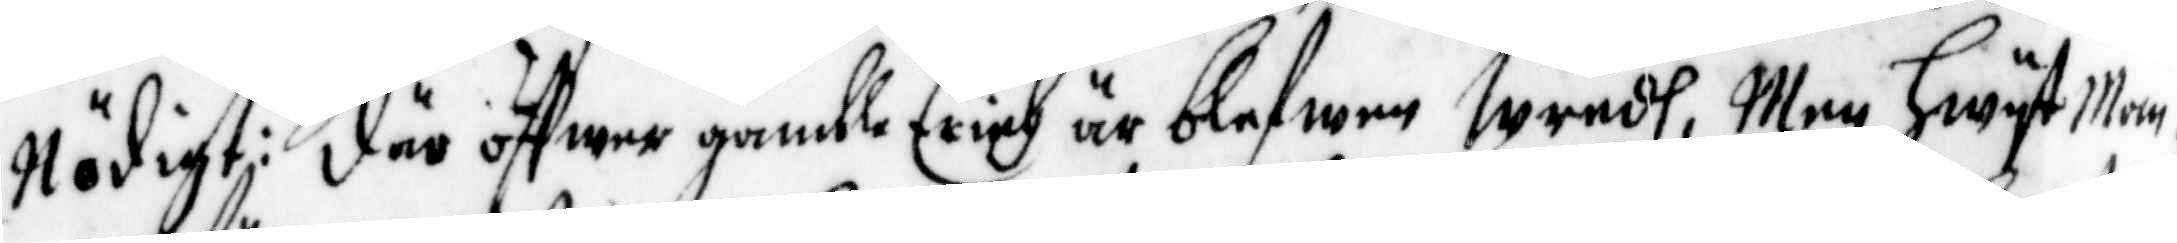Nödigt: där öffwer gamlle Erich är blefwen Wredh, Men hwyst Man-
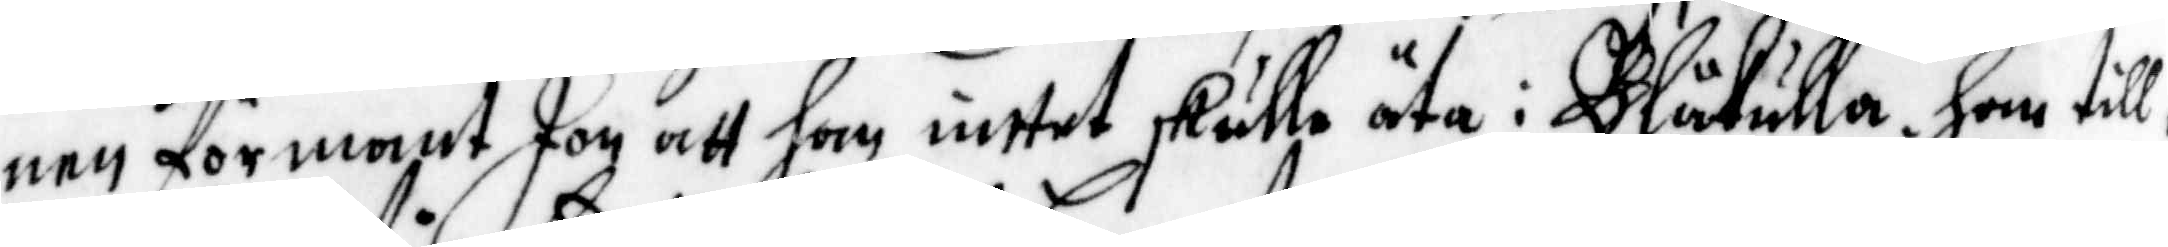nen förmant Jon att han intet skulle äta i Blåkulla. Ham till¬
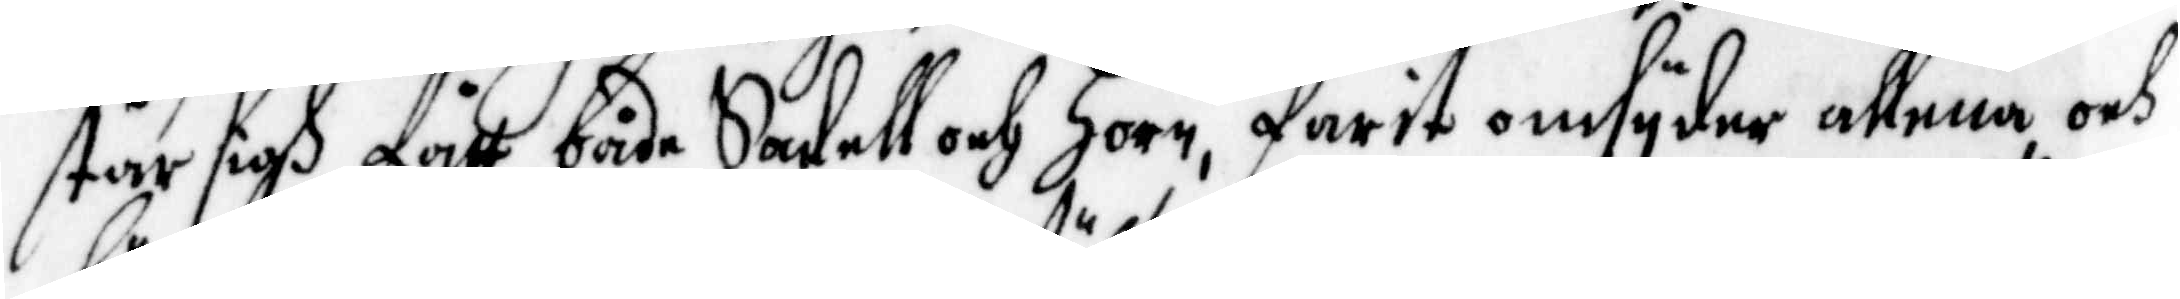står sigh fått både Sadell och Horn, farit omsyder allena och
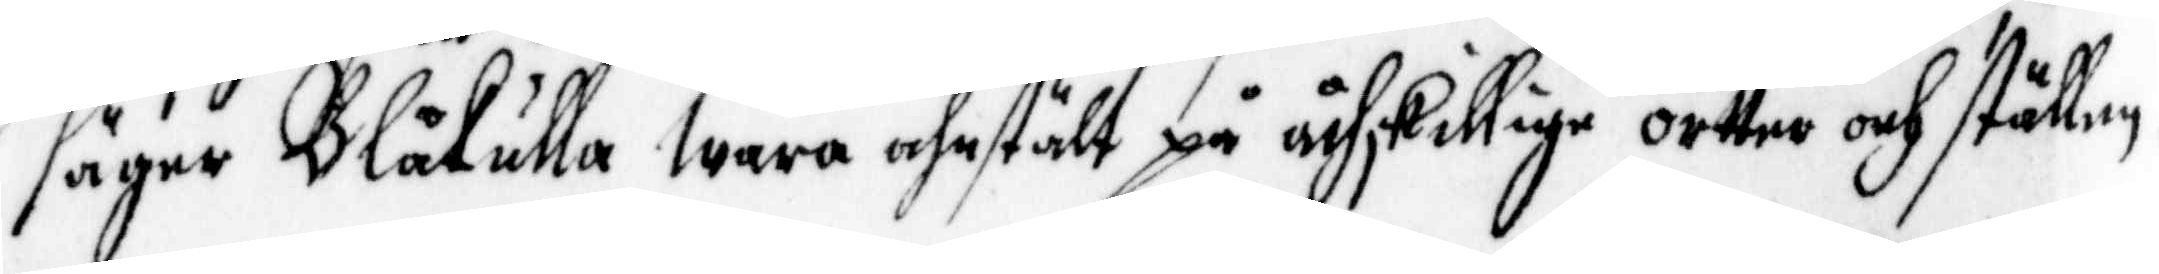säger Blåkulla wara ahnstält på åtskillige ortter och ställen.
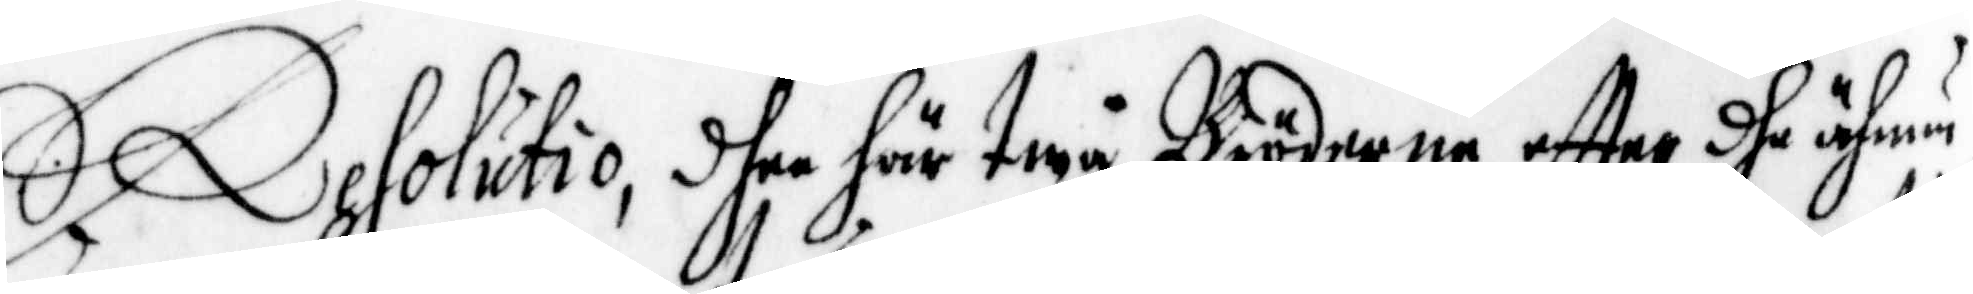Resolutio, dhee här twå Bröderna, effter dhe ähnu
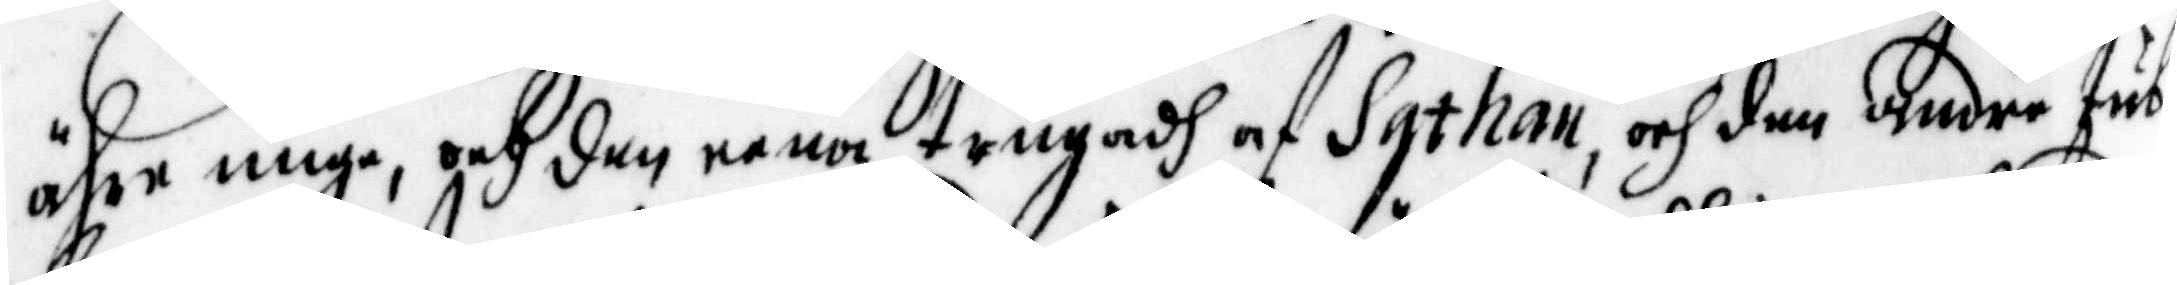ähre unge, och den eena trugadh af Sathan, och den andre tub¬
